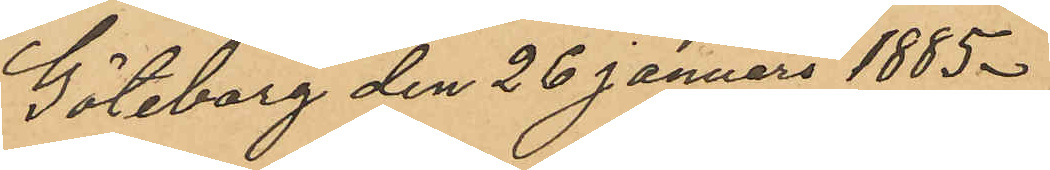Göteborg den 26 Januari 1885.
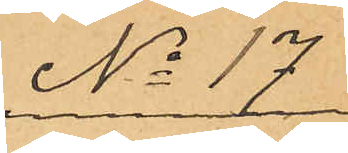No 17
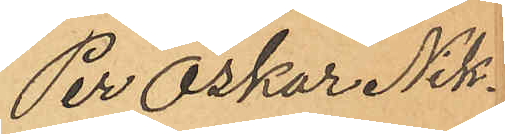Per Oskar Nik¬
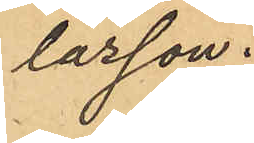lasson.
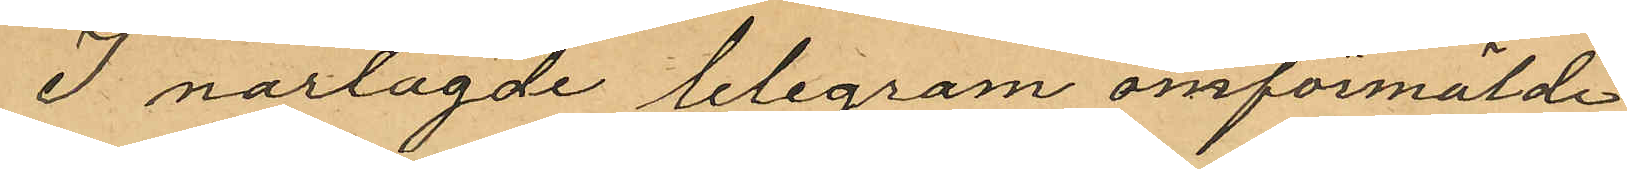I närlagde telegram omförmälde
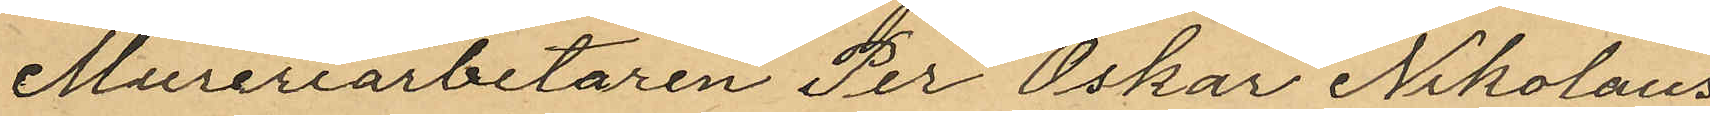Mureriarbetaren Per Oskar Nikolaus¬
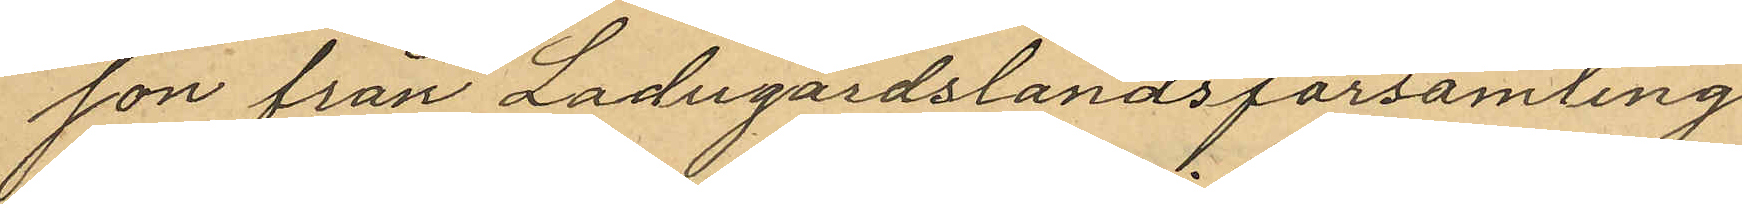son från Ladugårdslandsförsamling
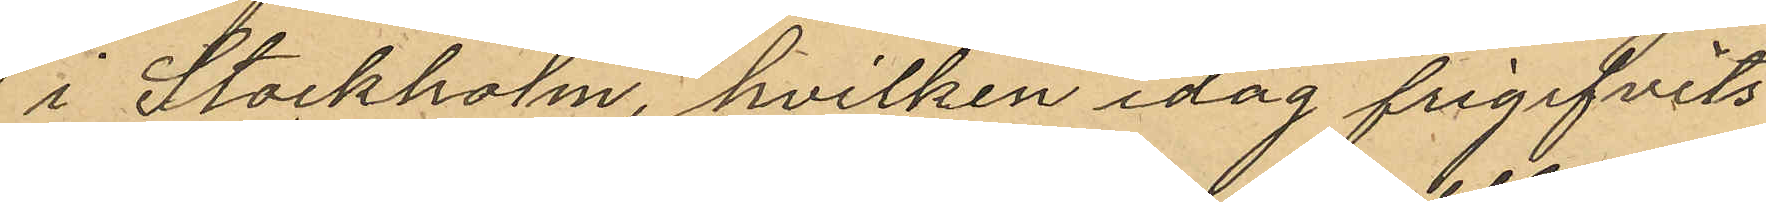i Stockholm, hvilken idag frigifvits
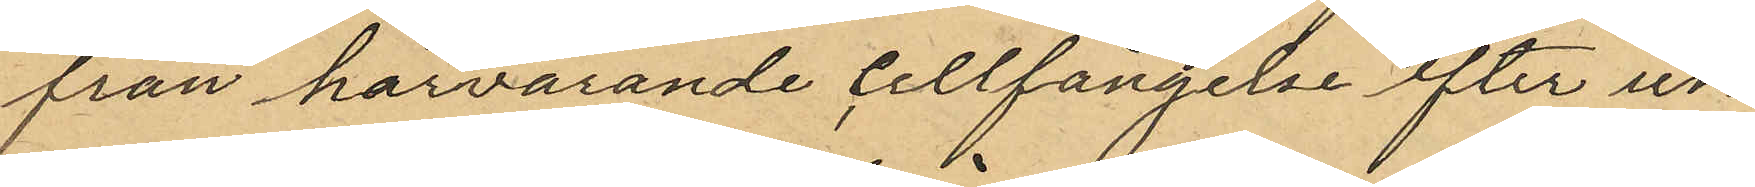från härvarande Cellfängelse efter un¬
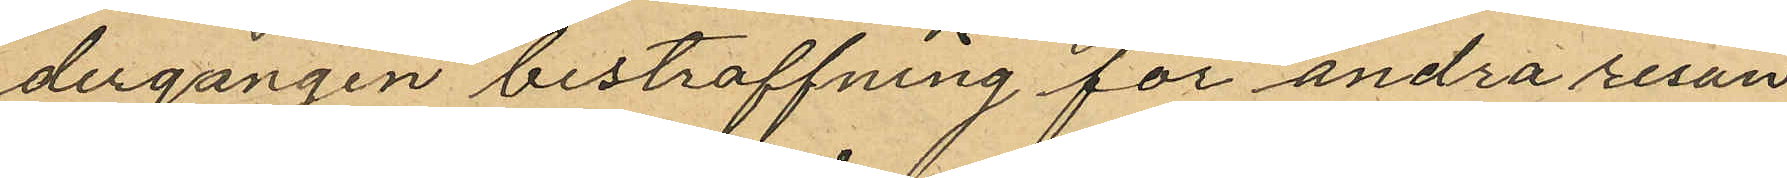dergången bestraffning för andra resan
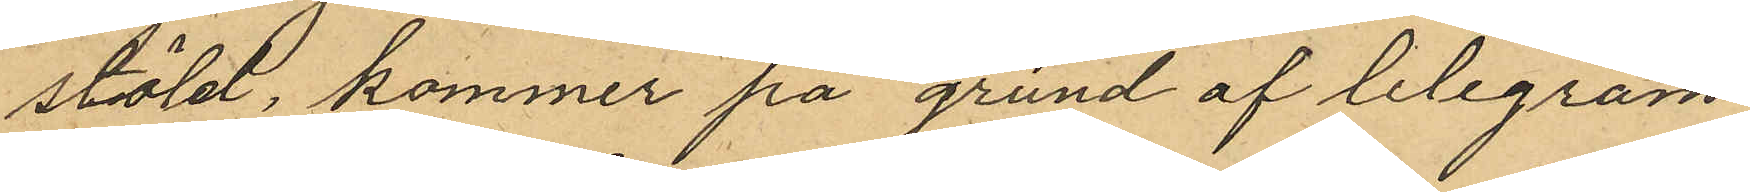stöld, kommer på grund af telegram¬
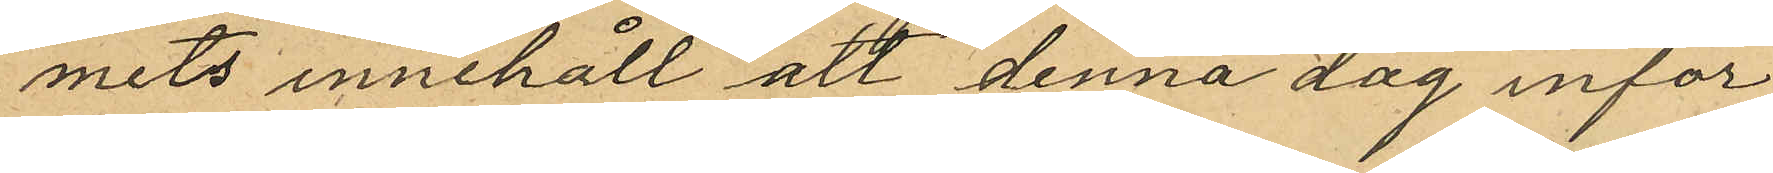mets innehåll att denna dag inför
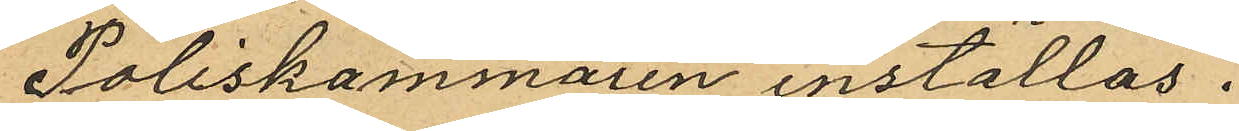Poliskammaren inställas.
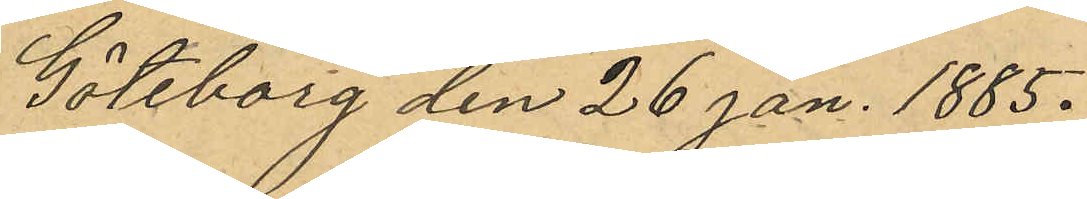Göteborg den 26 Jan. 1885.
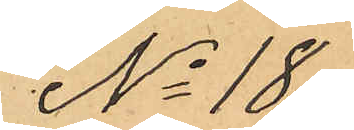No 18.
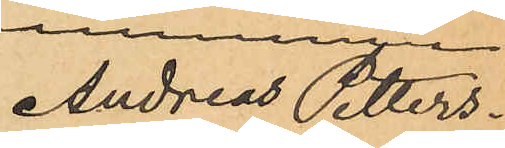Andreas Petters¬
